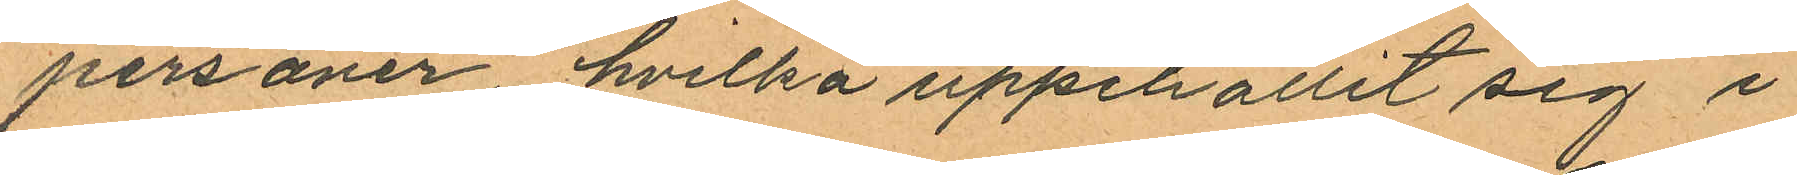personer, hvilka uppehållit sig i
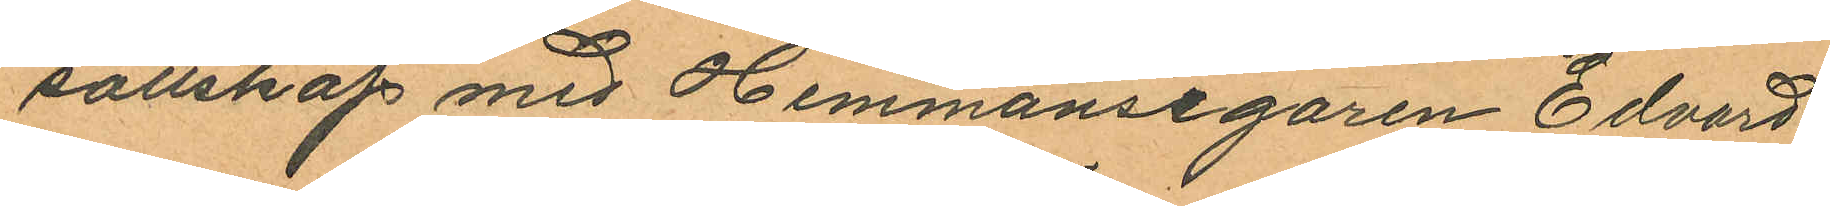sällskap med Hemmansegaren Edvard
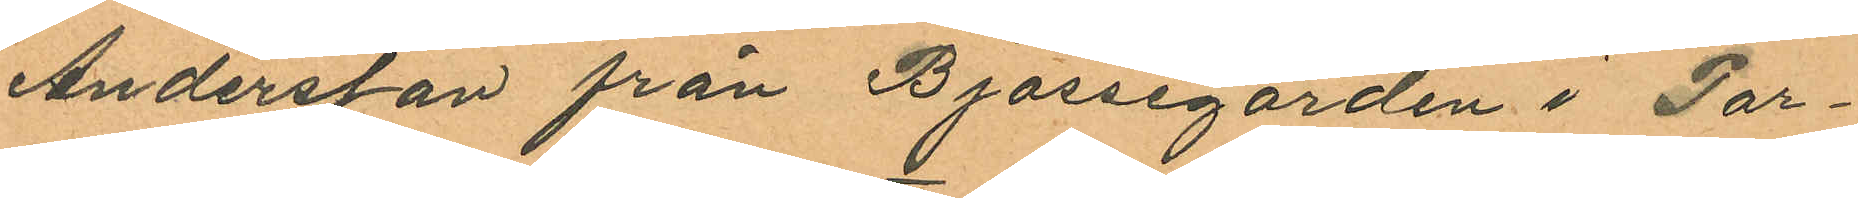Andersson från Bjössegården i Par¬
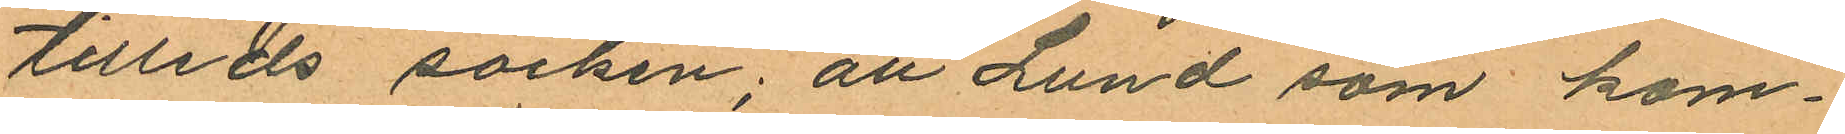tilleds socken; att Lund som kom¬
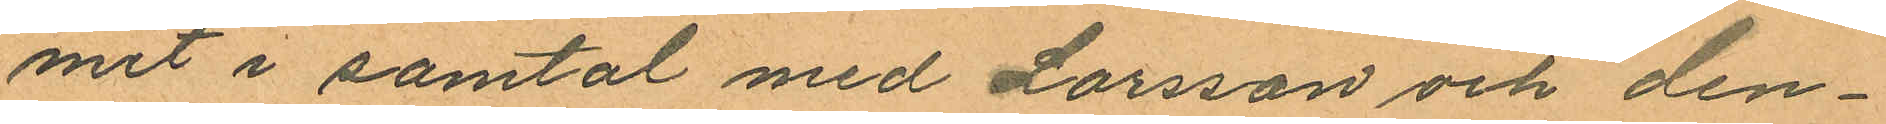met i samtal med Larsson och den¬
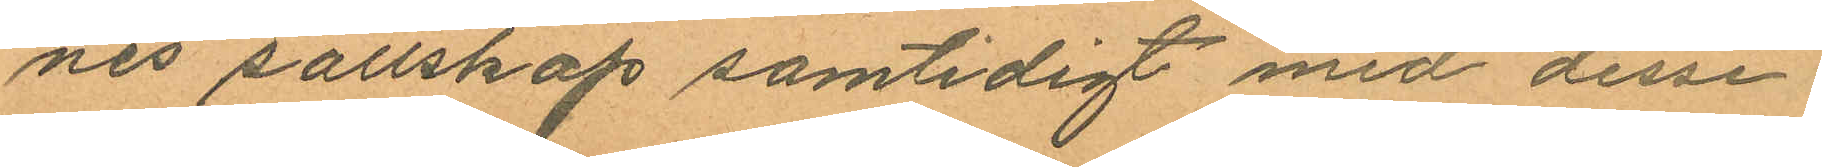nes sällskap samtidigt med desse
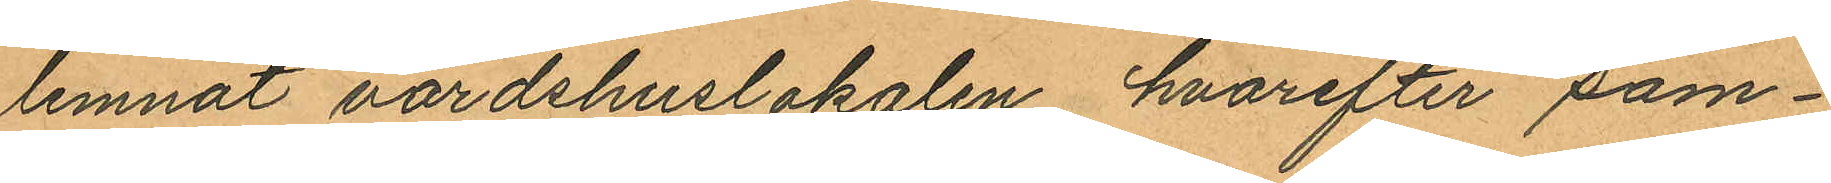lemnat värdshuslokalen hvarefter sam¬
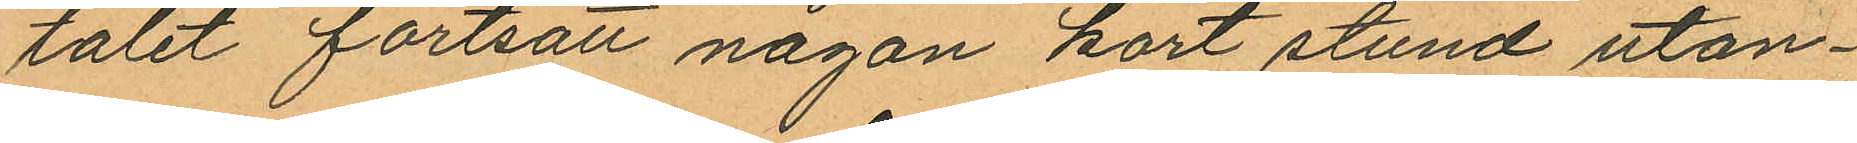talet fortsatt någon kort stund utan¬
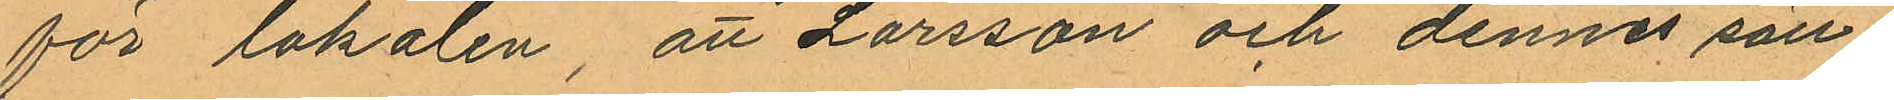för lokalen, att Larsson och dennes säll¬
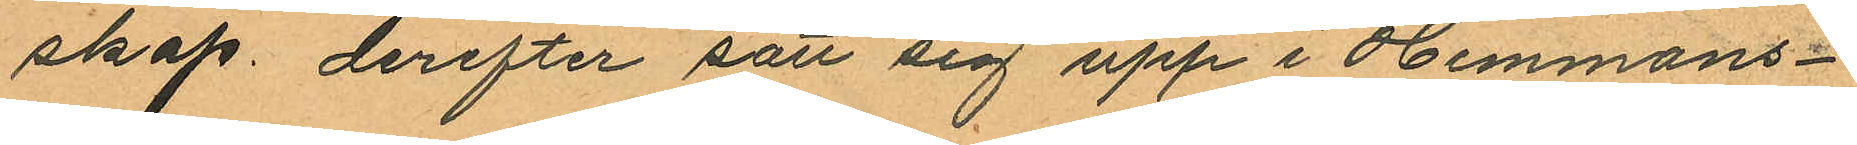skap derefter satt sig upp i Hemmans¬
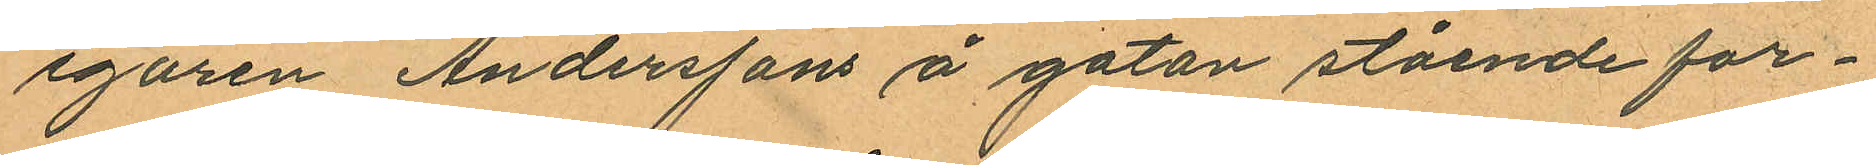egaren Anderssons å gatan stående for¬
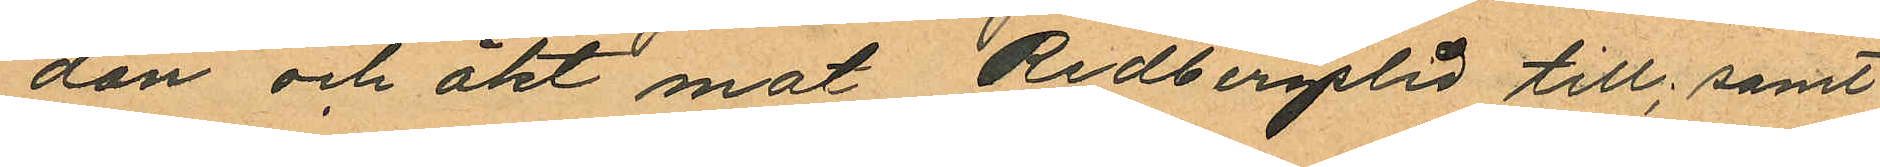don och åkt mot Redbergslid till; samt
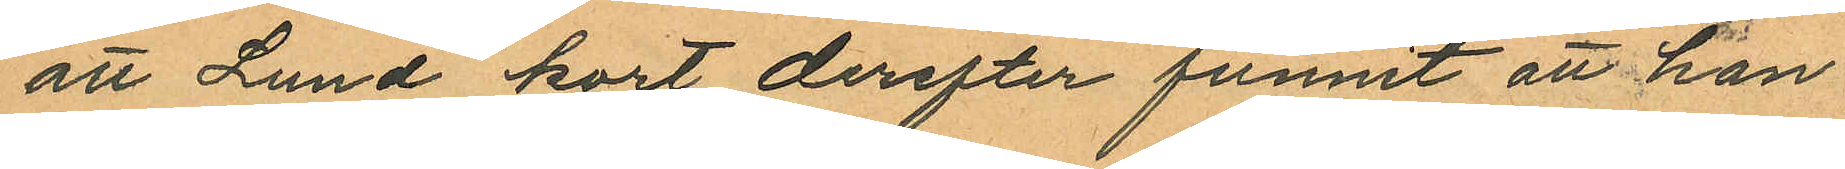att Lund kort derefter funnit att han
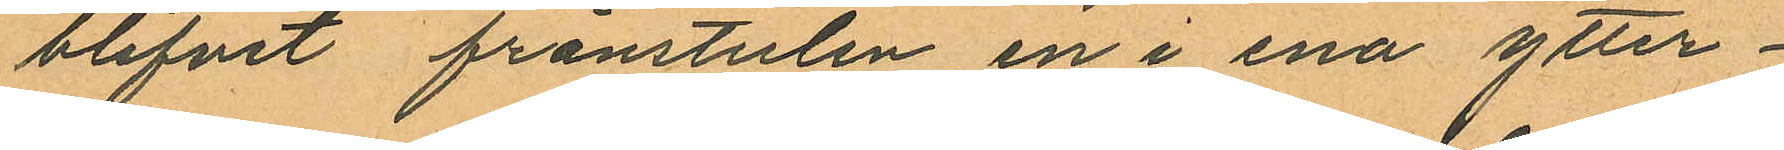blifvit frånstulen en i ena ytter¬
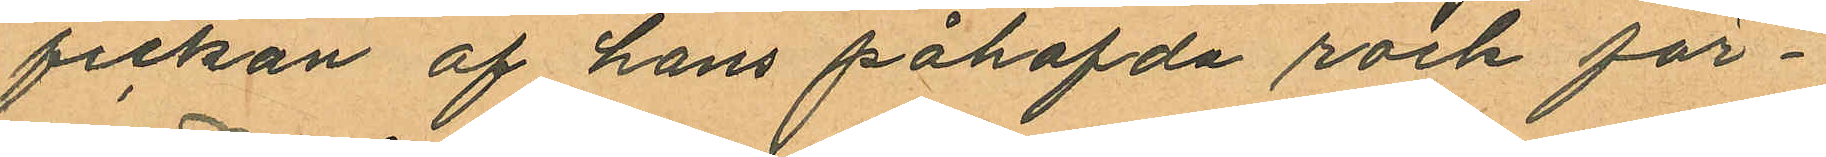fickan af hans påhafvda rock för¬
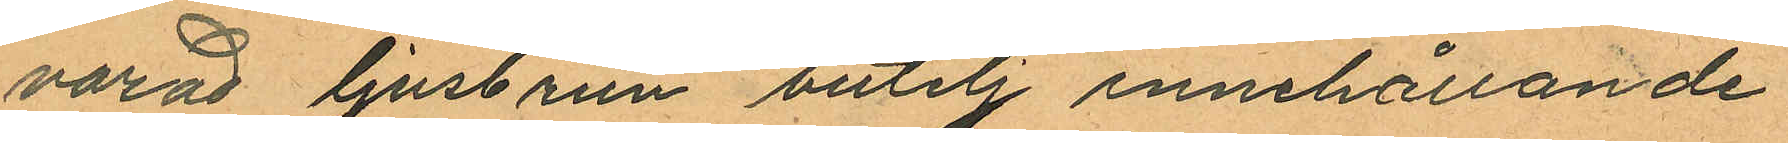varad ljusbrun butelj innehållande
